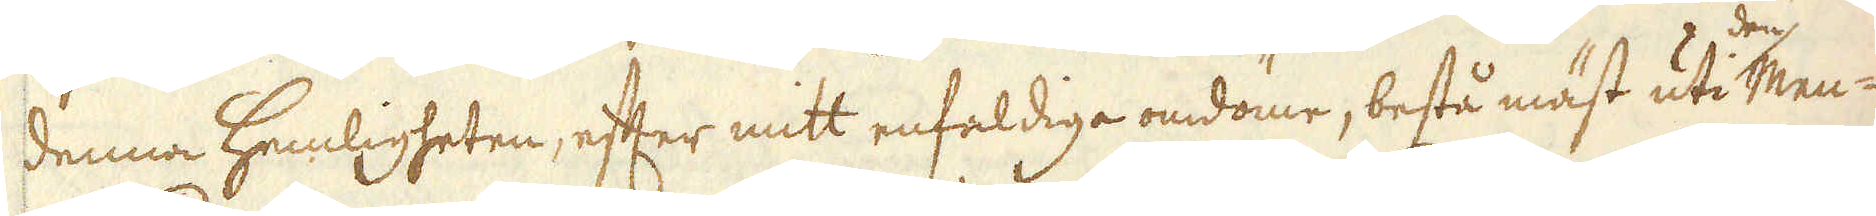denna hemligheten, efter mitt enfaldiga omdöme, bestå mäst uti den Men-
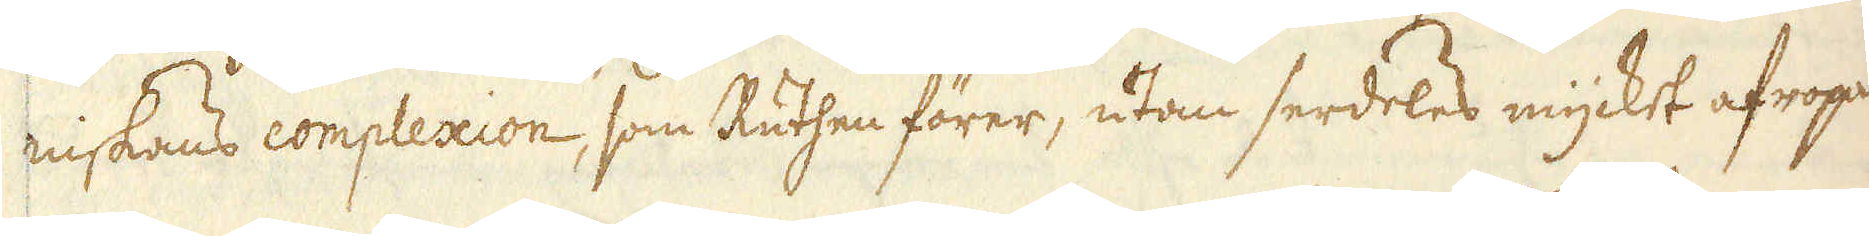niskans complexion, som Ruthen förer, utan serdeles mycket afropat
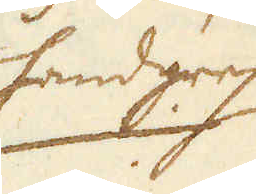handgrep
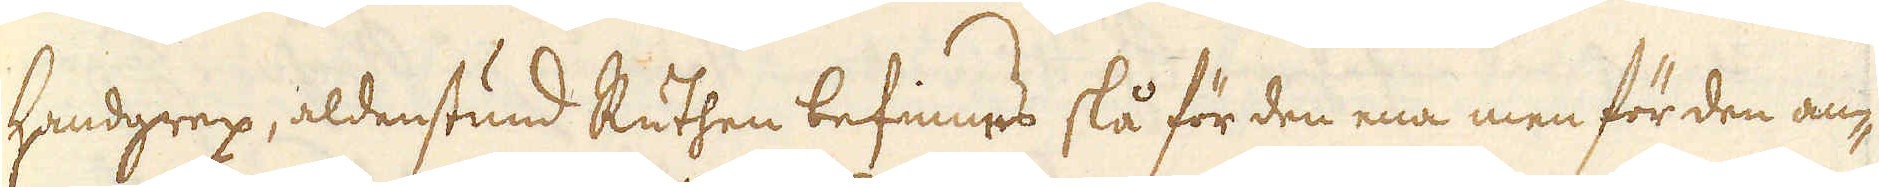handgrep, aldenstund Ruthen befinnes slå för den ena men för den an-
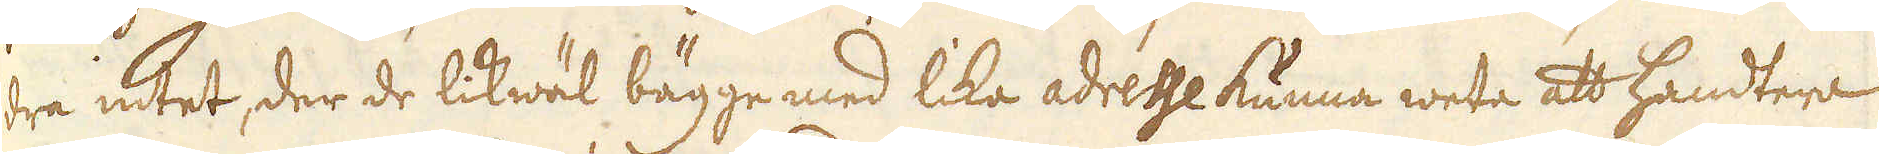dra intet, der de likwäl bägge med lika adresse kunna weta att handtera
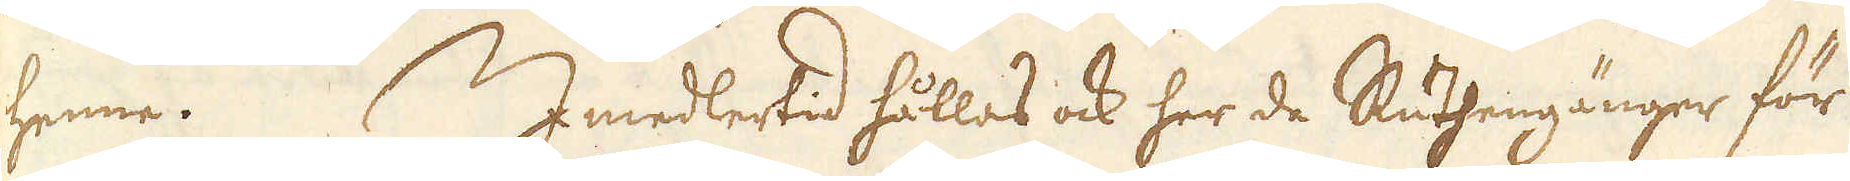henne. Imedlertid hållas ock her de Ruthengänger för
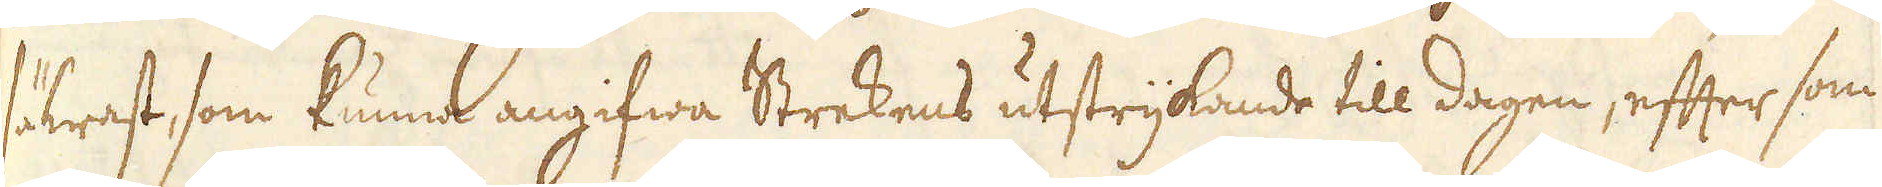säkrast, som kunna angifwa Strekens utstrykande till dagen, efter som
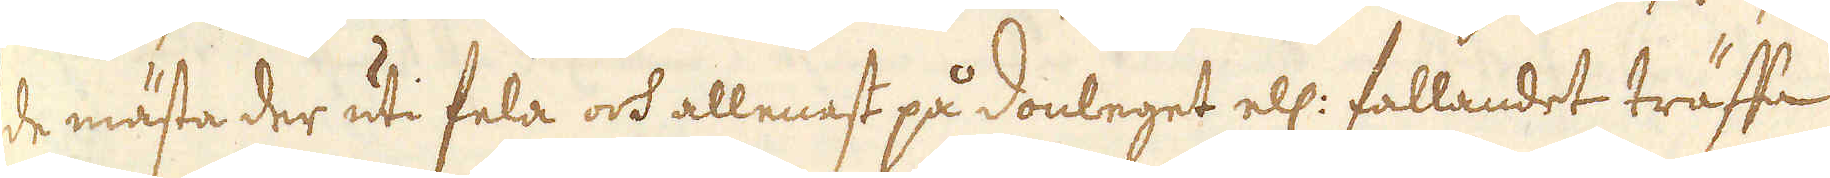de mästa der uti fela och allenast på Donleget ell: fallandet träffa
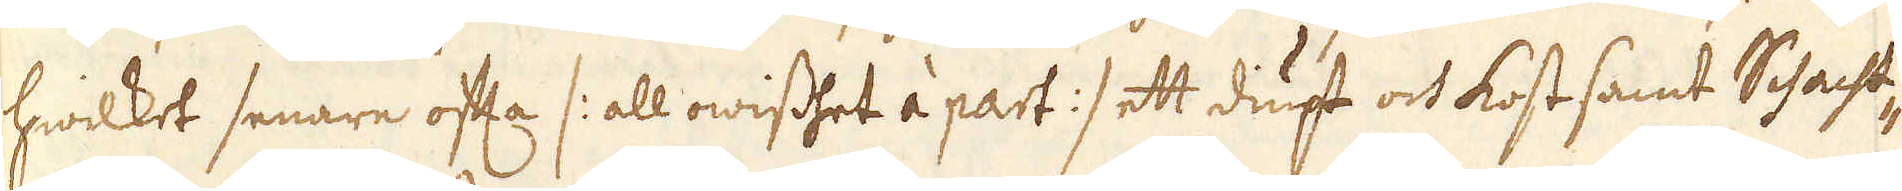hwilket senare ofta /: all owisshet à part :/ ett diupt och kostsamt Schacht-
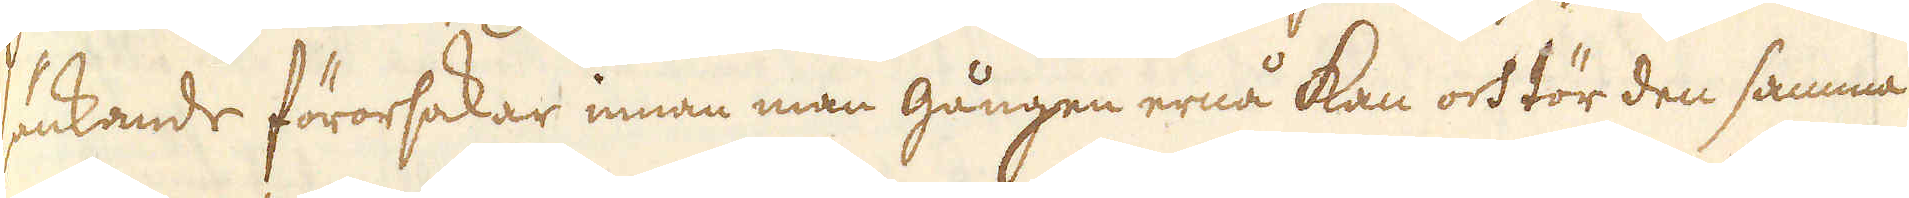sänkande förorsakar innan man gången ernå kan och tör den samma
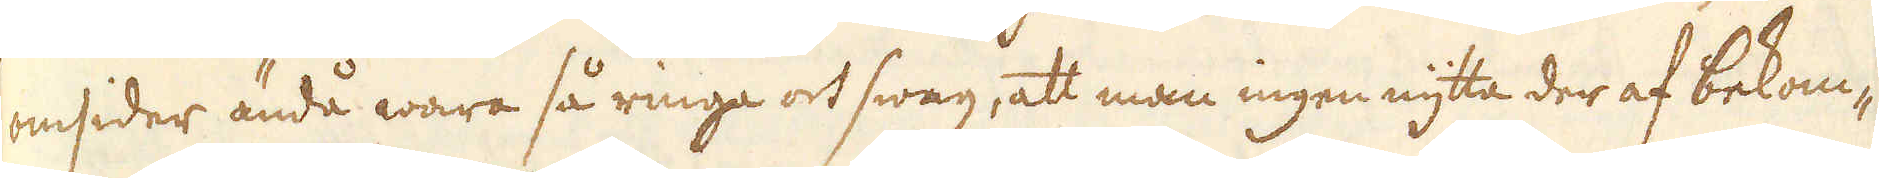omsider ändå wara så ringa och swag, att man ingen nytta der af bekom-
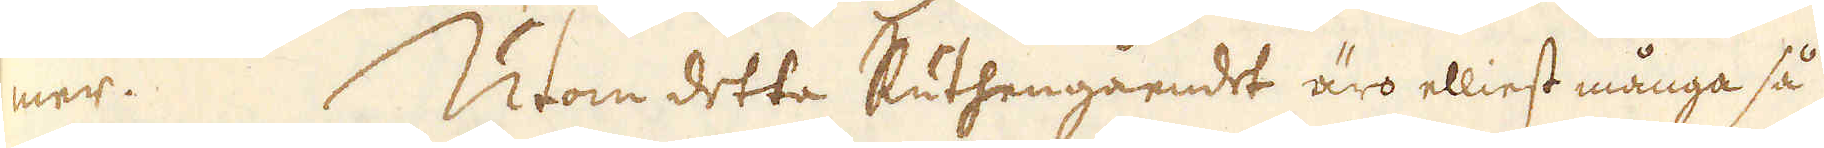mer. Utom detta Ruthengåendet äro elliest många så
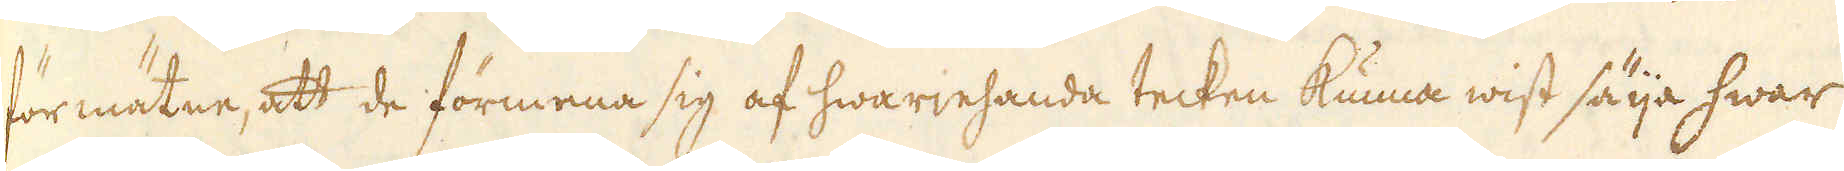förmätne, att de förmena sig af hwariehanda tecken kunna wist säija hwar
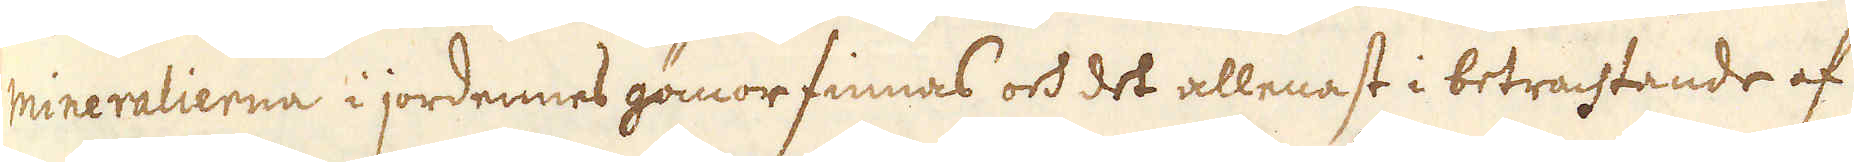mineralierna i jordennes gömor finnas och det allenast i betrachtande af
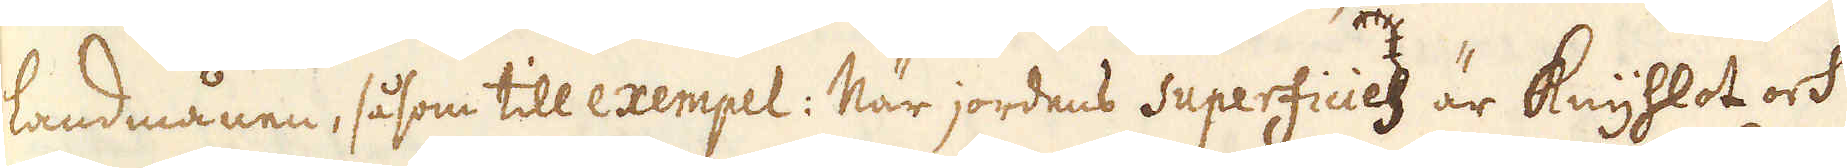landmånen, såsom till exempel: När jordens superficies är Knyhlot och
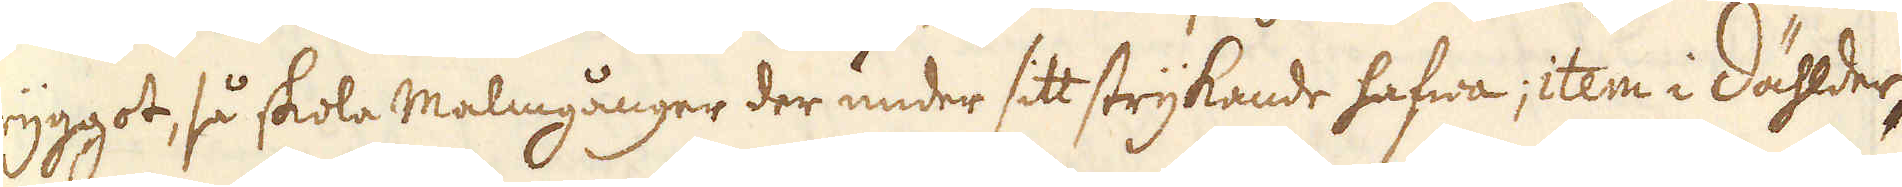ryggot, så skola Malmgånger der under sitt strykande hafwa; item i Dählder,
